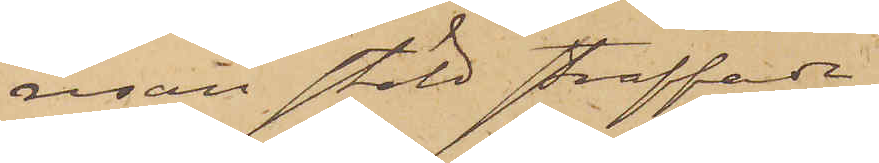resan stöld straffade
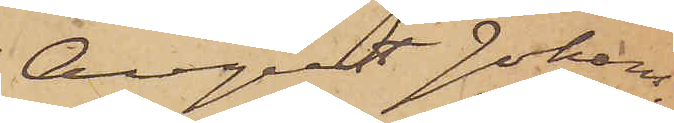August Johans¬
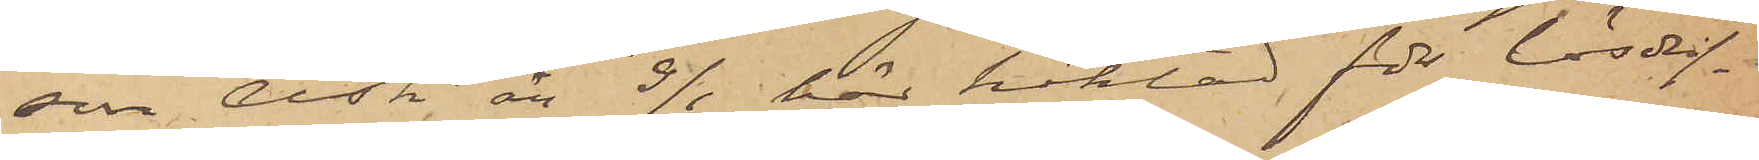son Ask, är 9/1 här häktad för lösdrif¬
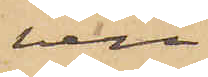veri
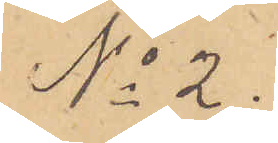No 2.
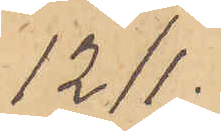12/1.
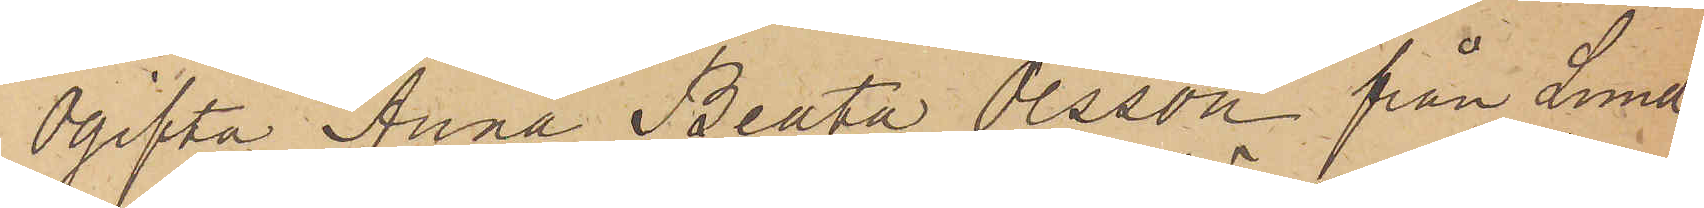Ogifta Anna Beata Olsson från Lund¬
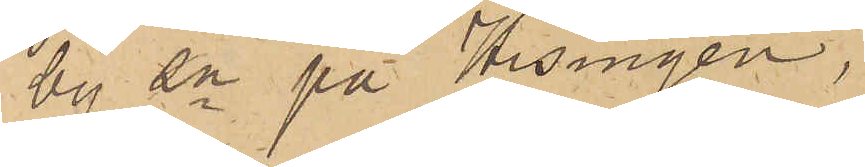by sn på Hisingen,
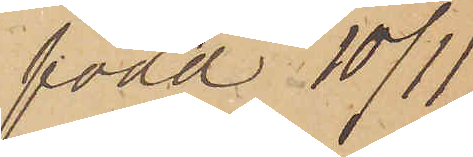född 10/11
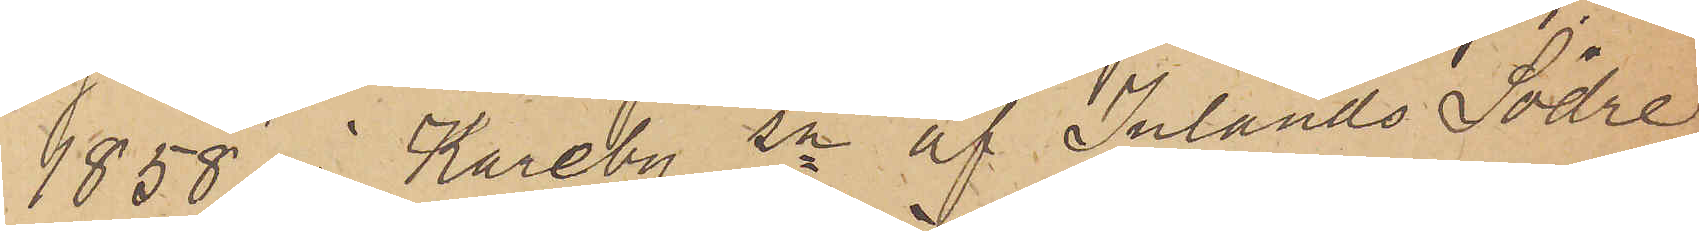1858 i Kareby sn af Inlands Södre
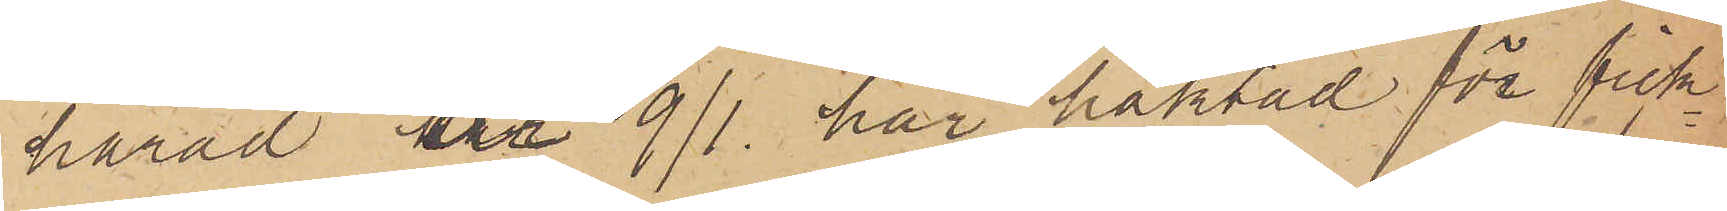härad är 9/1 här häktad för fick¬
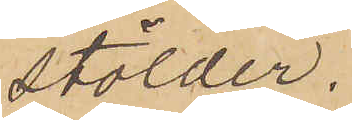stölder.
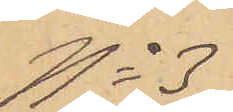No 3
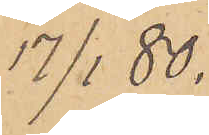17/1  80.
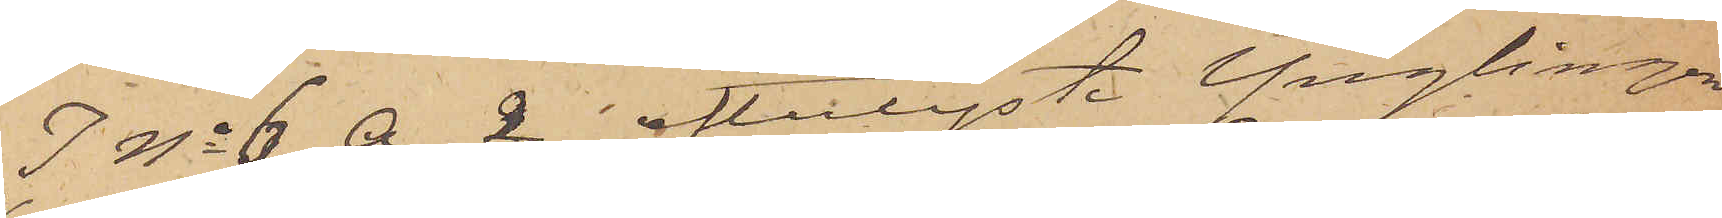I No 6 A. 2 efterlyste Ynglingen
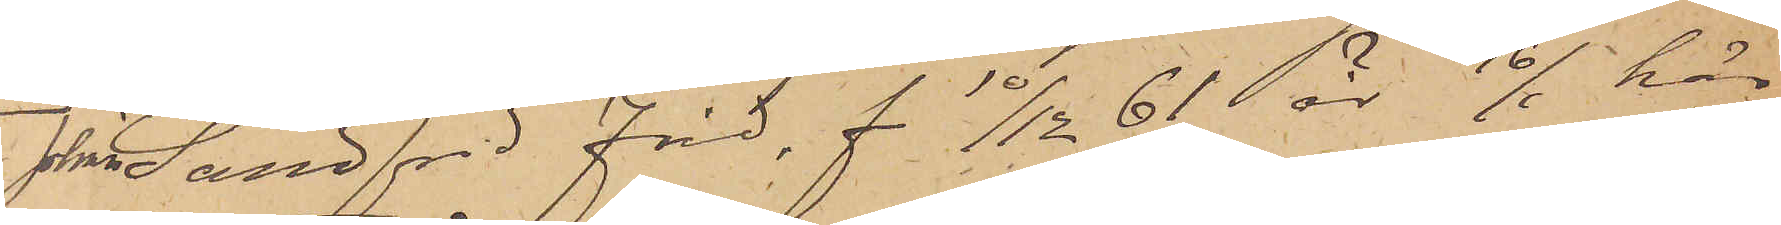Johan Sandfrid Frid, f 10/12  61 är 16/1 här
